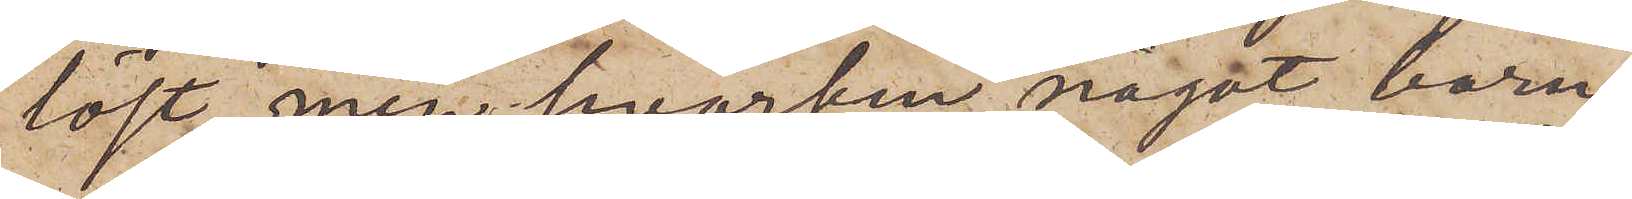löst, men hvarken något barn
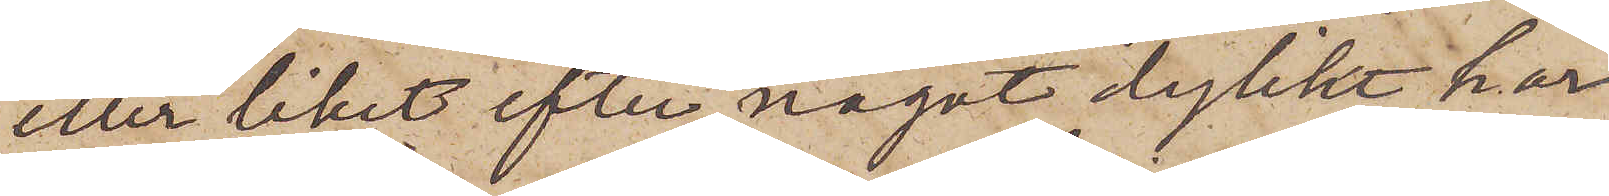eller liket efter något dylikt har
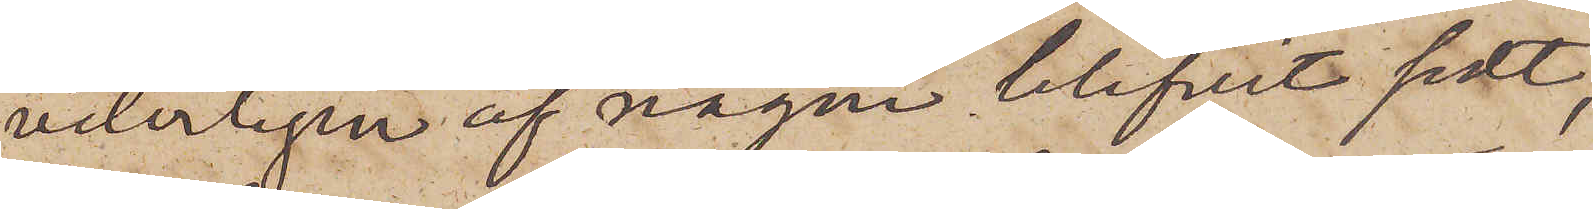veterligen af någon blifvit sedt,
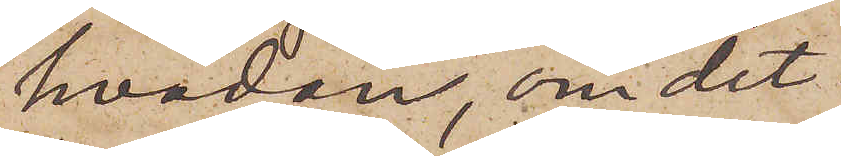hvadan, om det
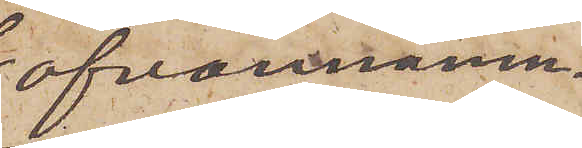ofvannämn¬
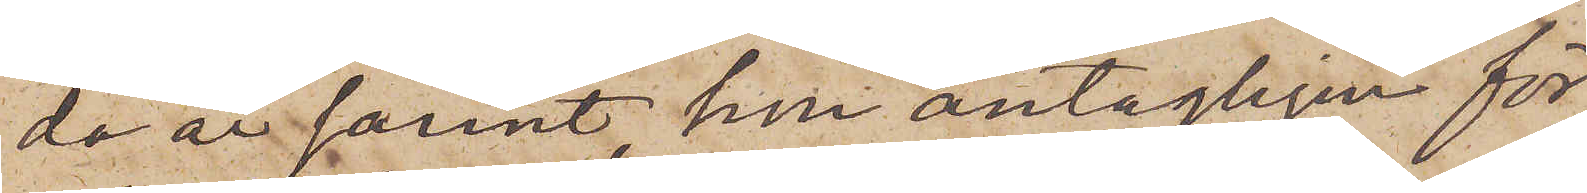da är sant, hon antagligen för¬
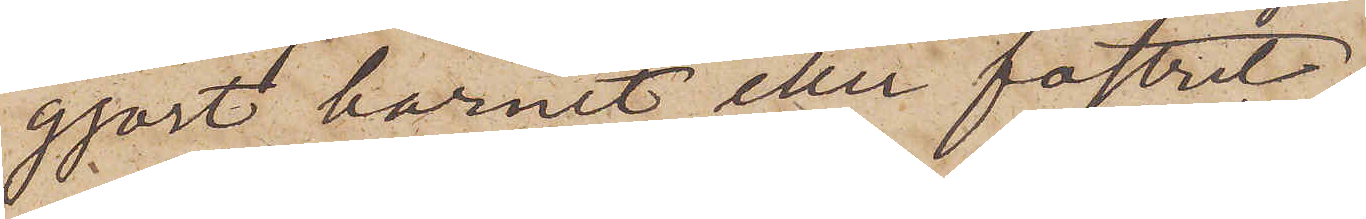gjort barnet eller fostret.
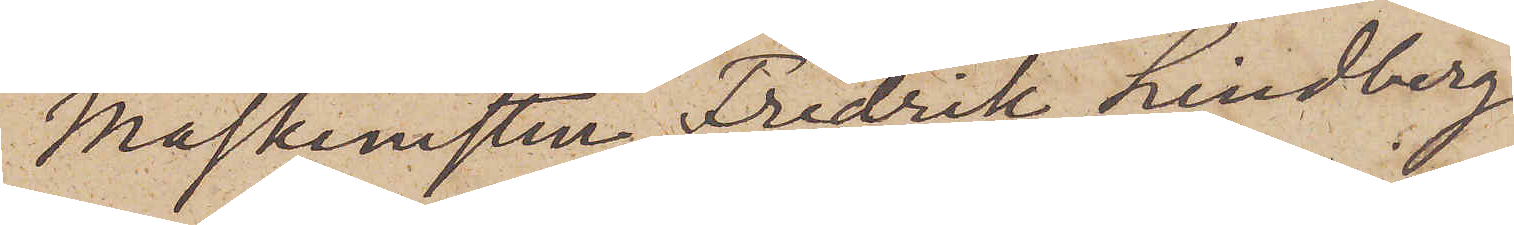Maskinisten Fredrik Lindberg
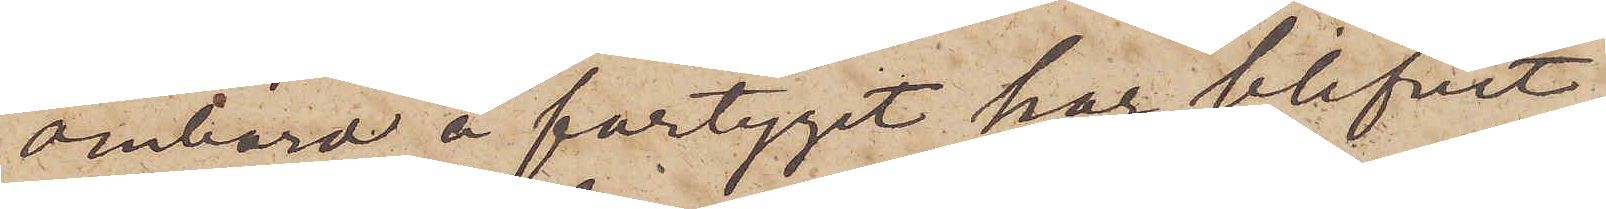ombord å fartyget har blifvit
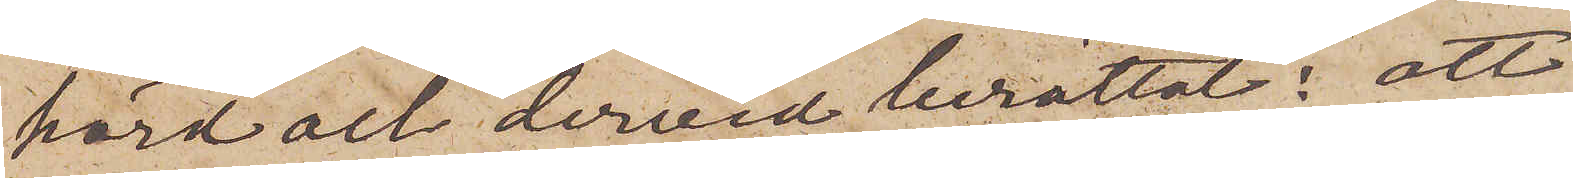hörd och dervid berättat: att
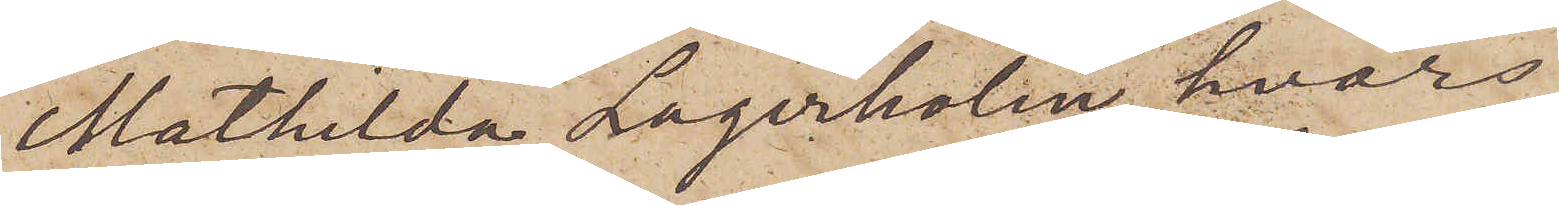Mathilda Lagerholm, hvars
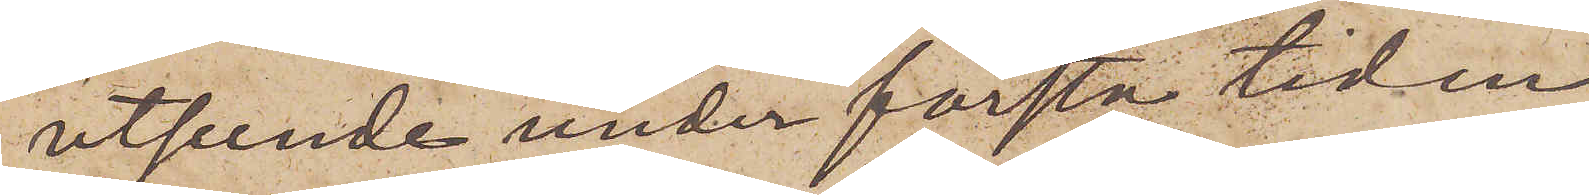utseende under första tiden
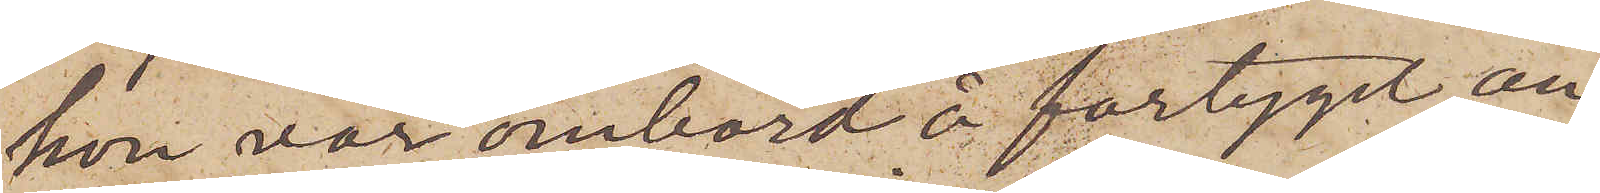hon var ombord å fartyget an¬
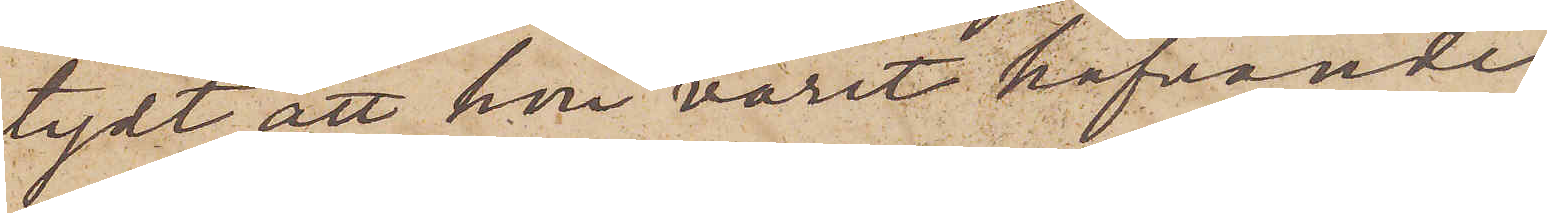tydt, att hon varit hafvande,
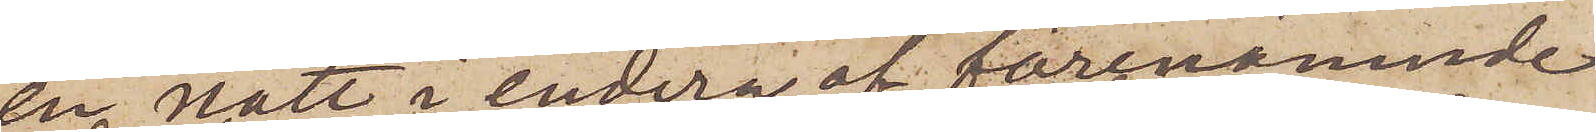en natt i endera af förenämnde
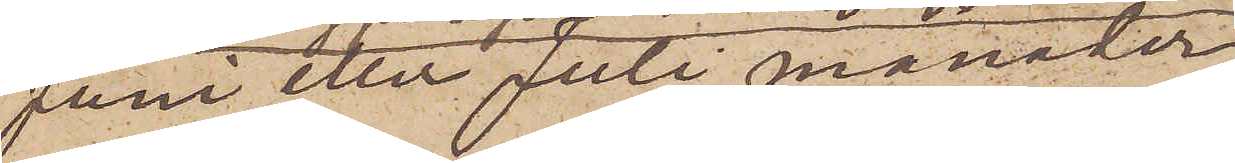Juni eller Juli månader
